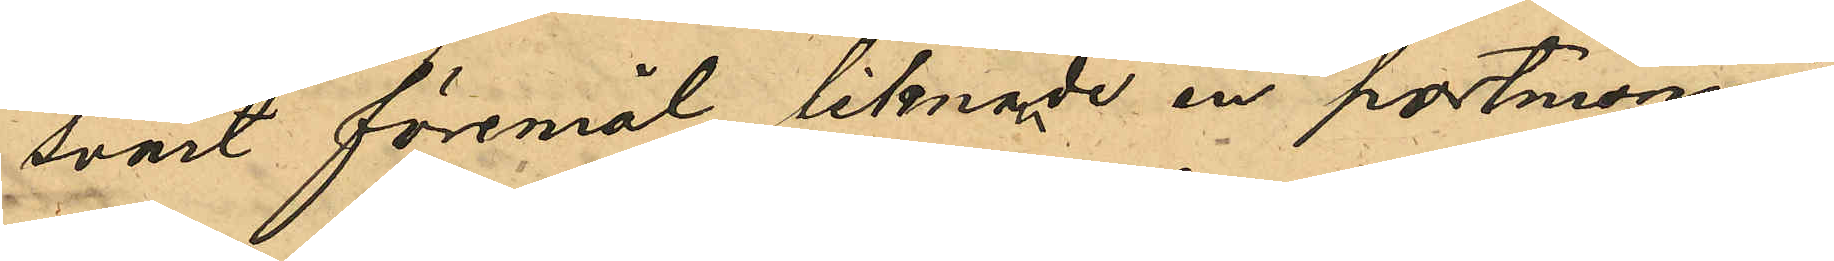svart föremål liknade en portmonnä,
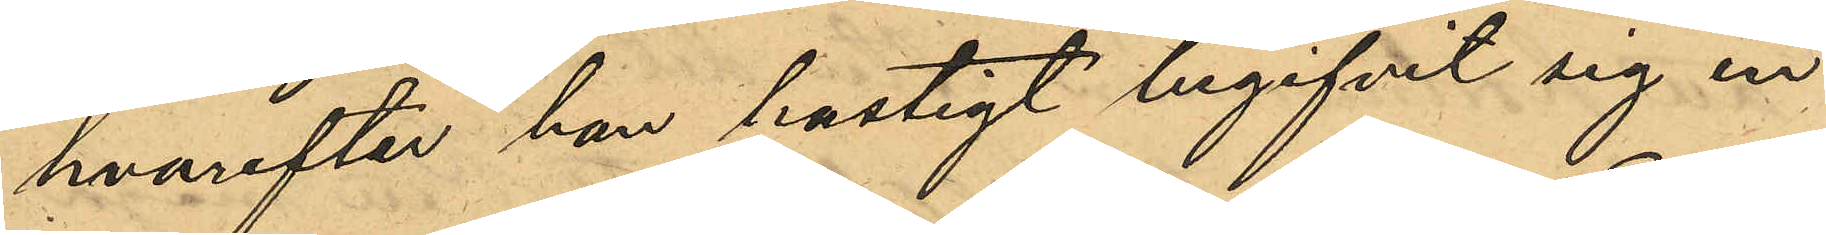hvarefter han hastigt begifvit sig in
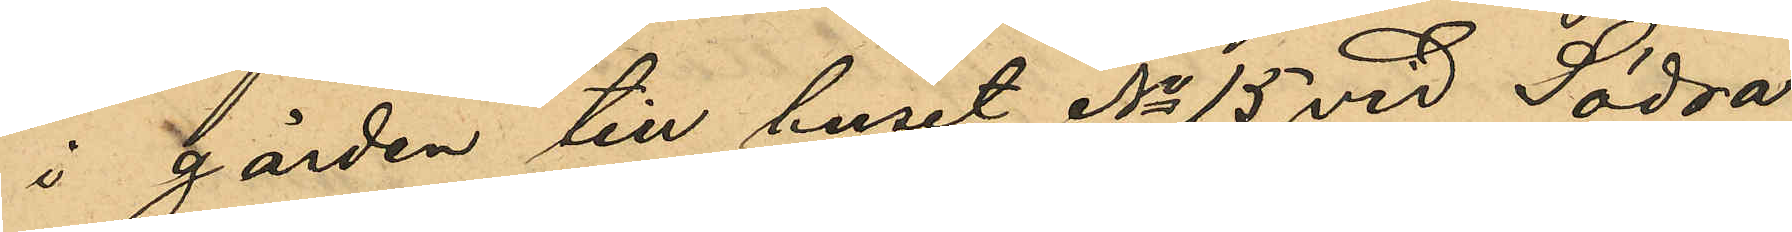i gården till huset No 15 vid Södra
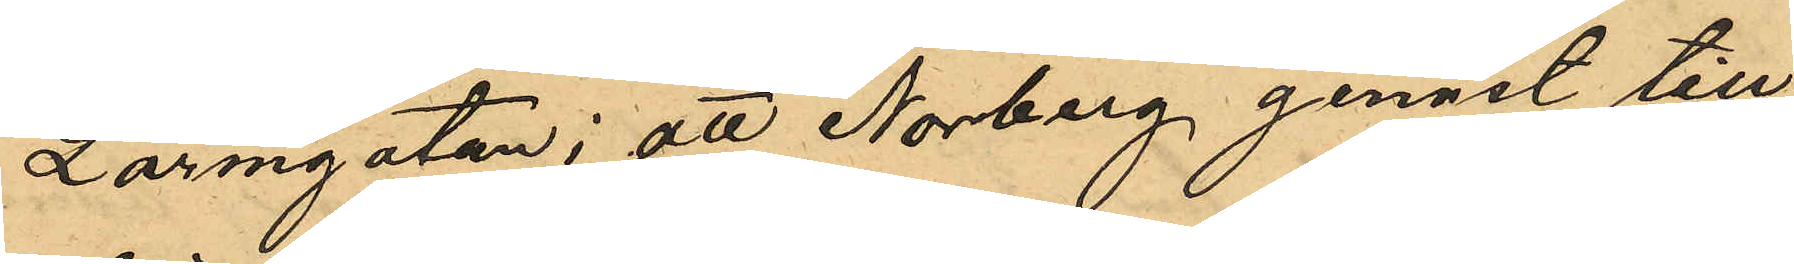Larmgatan; att Norberg genast till¬
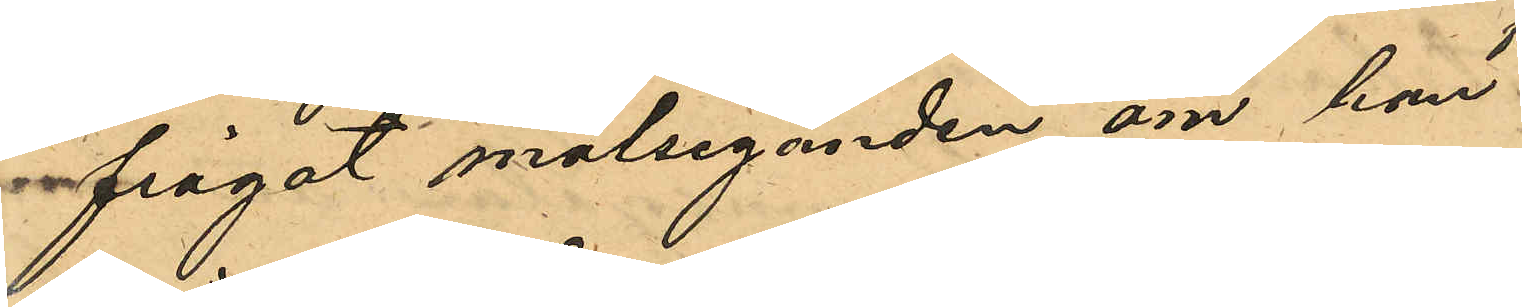frågat målseganden, om han
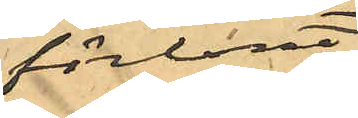förlorat
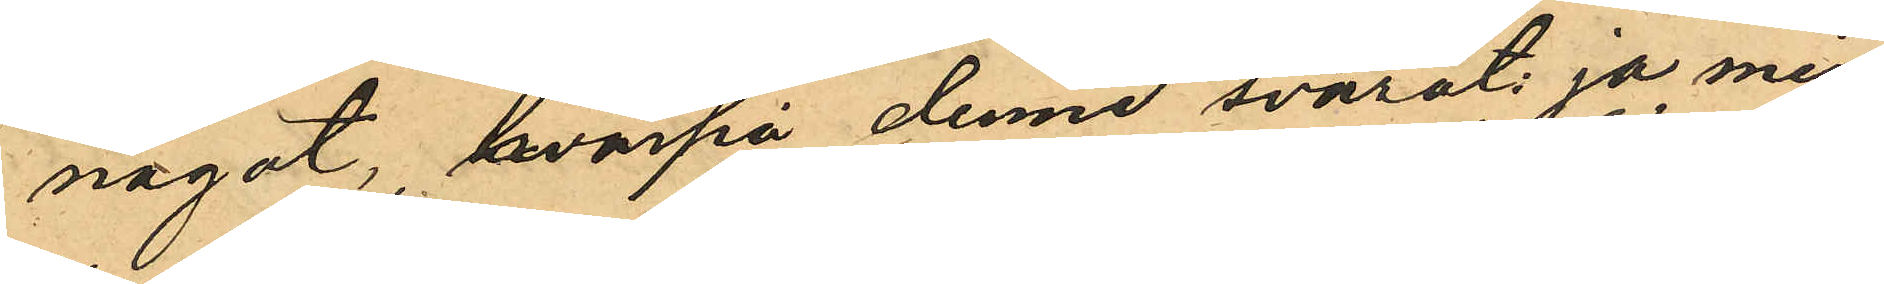något, hvarpå denne svarat: ja min
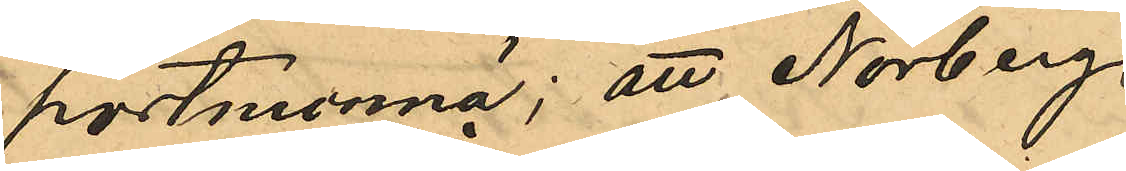portmonnä; att Norberg,
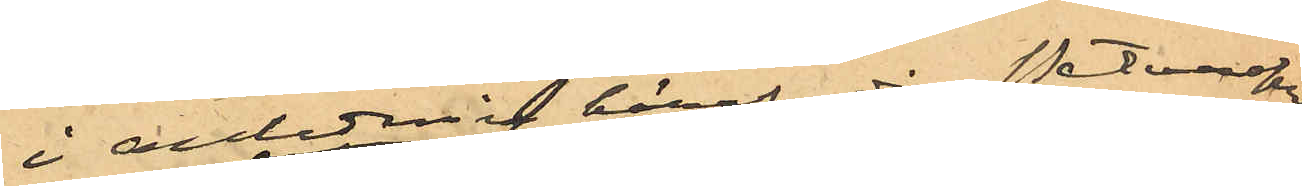i anledning häraf då Petterson
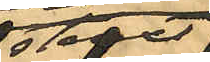straxt
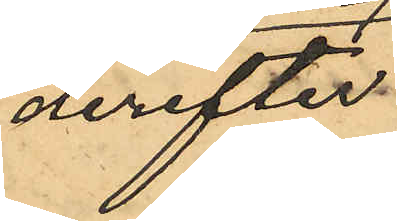derefter
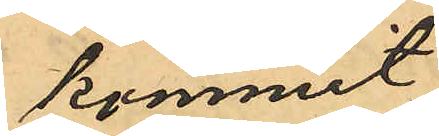kommit
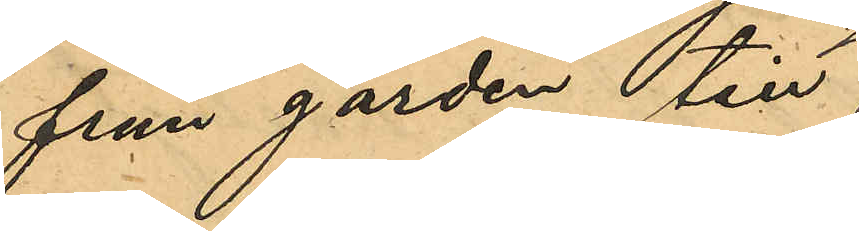från gården till
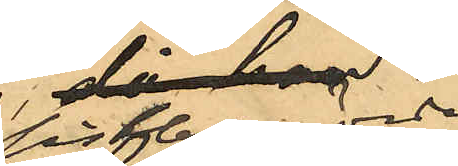sistberörde
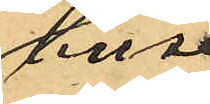hus
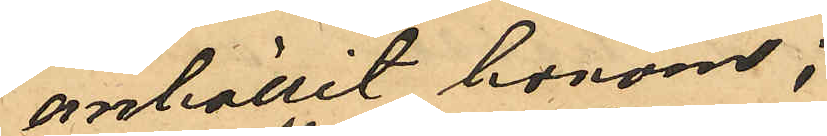anhållit honom;
